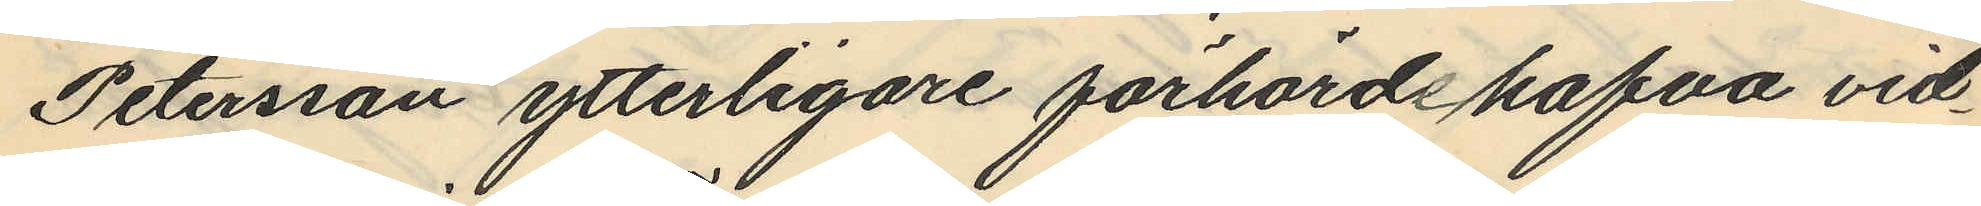Petersson ytterligare förhörde hafva vid¬
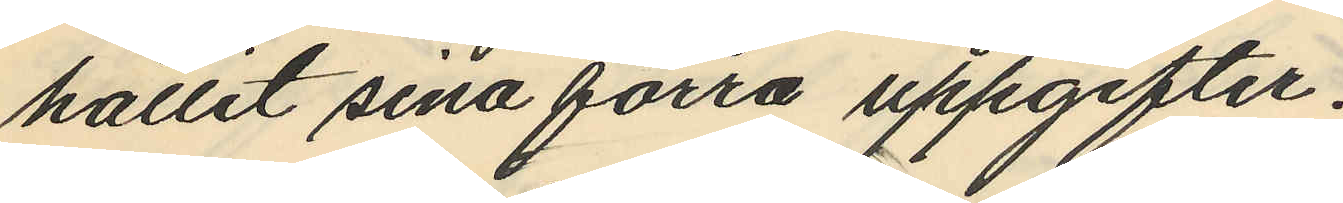hållit sina förra uppgifter.
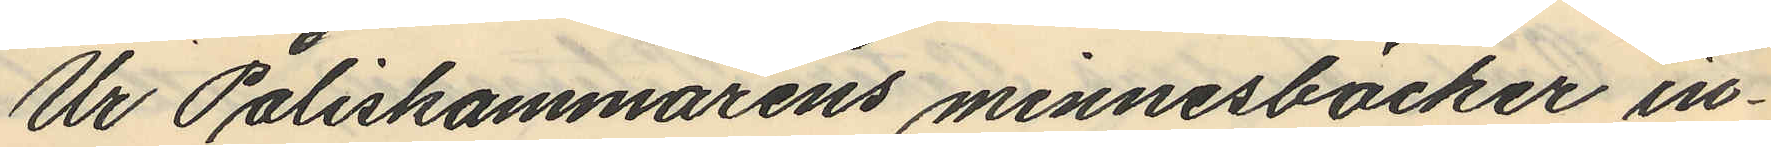Ur Poliskammarens minnesböcker in¬
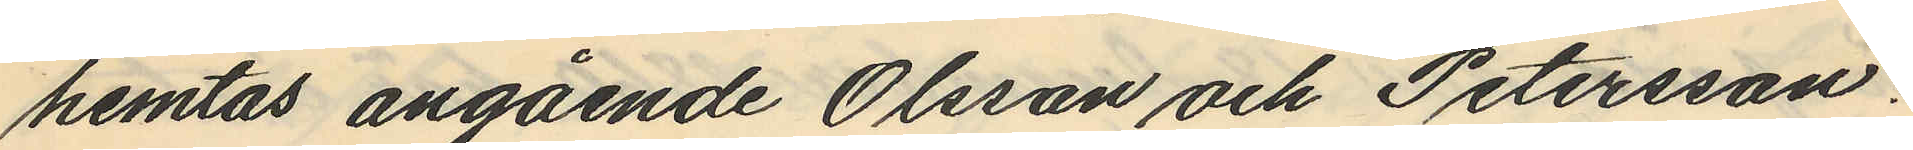hemtas angående Olsson och Petersson:
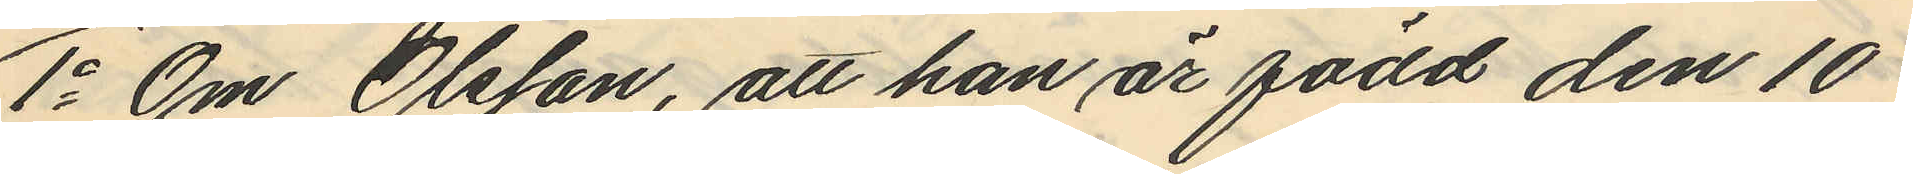1o Om Olsson, att han är född den 10
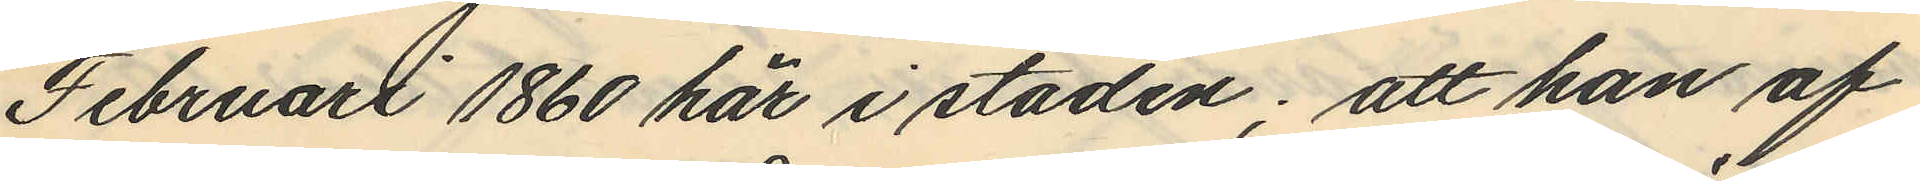Februari 1860 här i staden; att han af
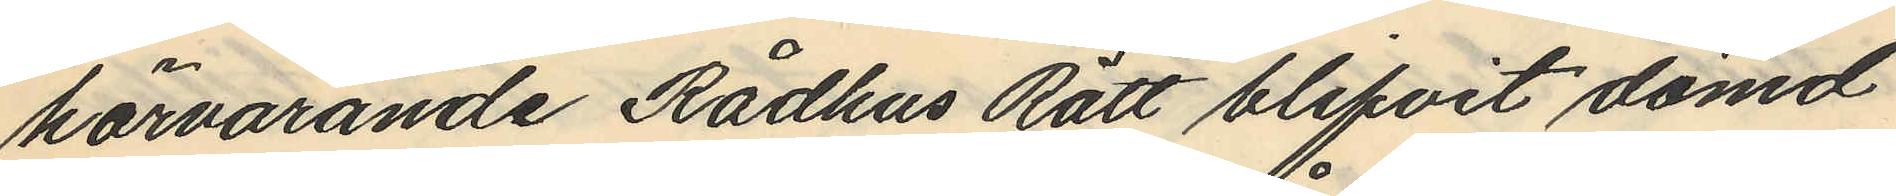härvarande Rådhus Rätt blifvit dömd
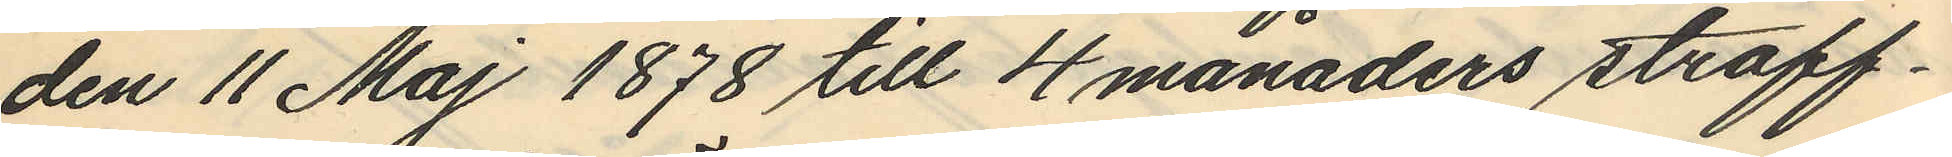den 11 Maj 1878 till 4 månaders straff¬
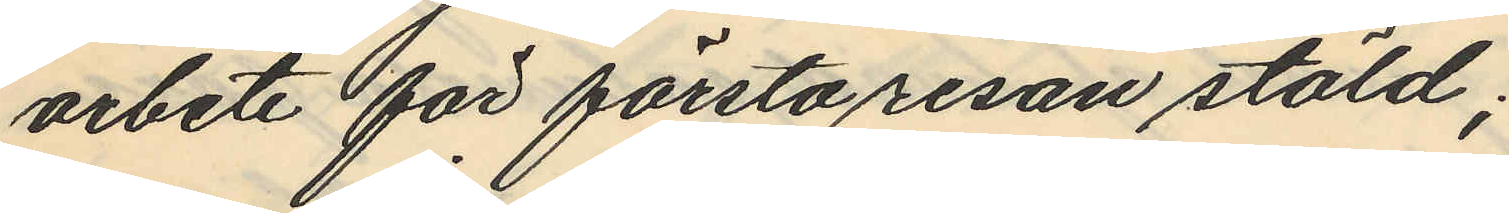arbete för första resan stöld;
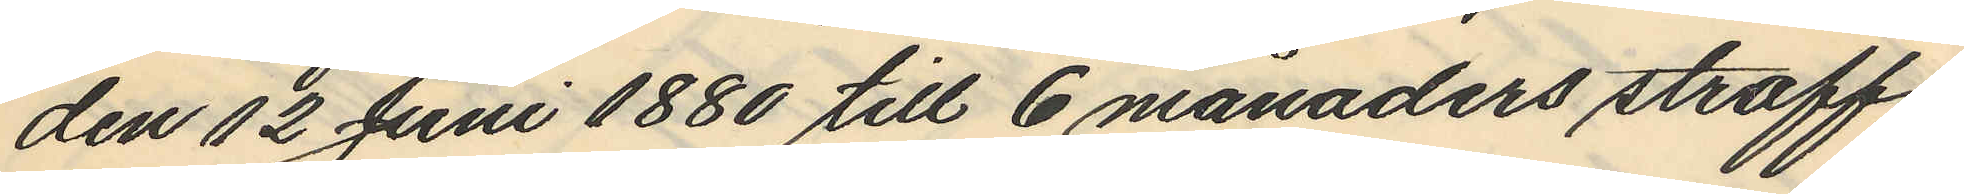den 12 Juni 1880 till 6 månaders straff¬
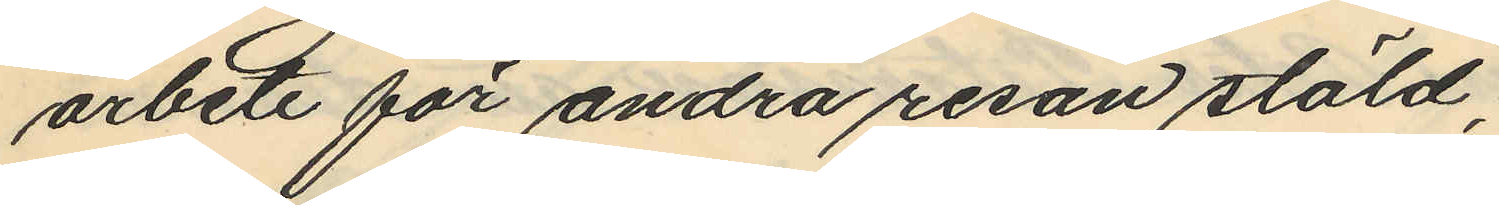arbete för andra resan stöld,
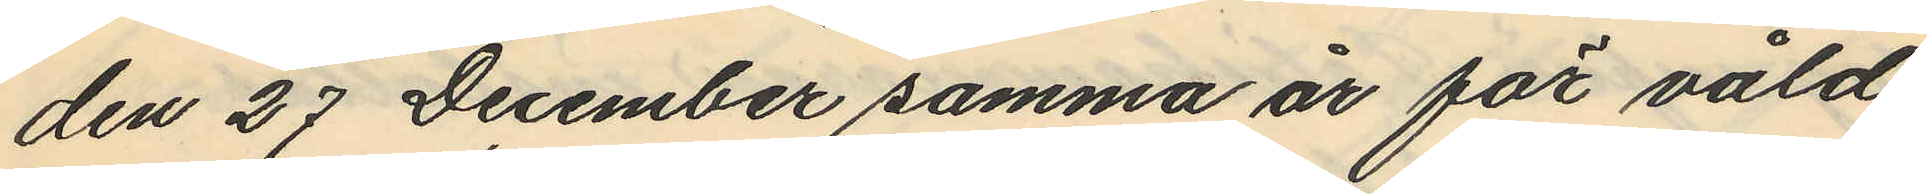den 27 December samma år för våld
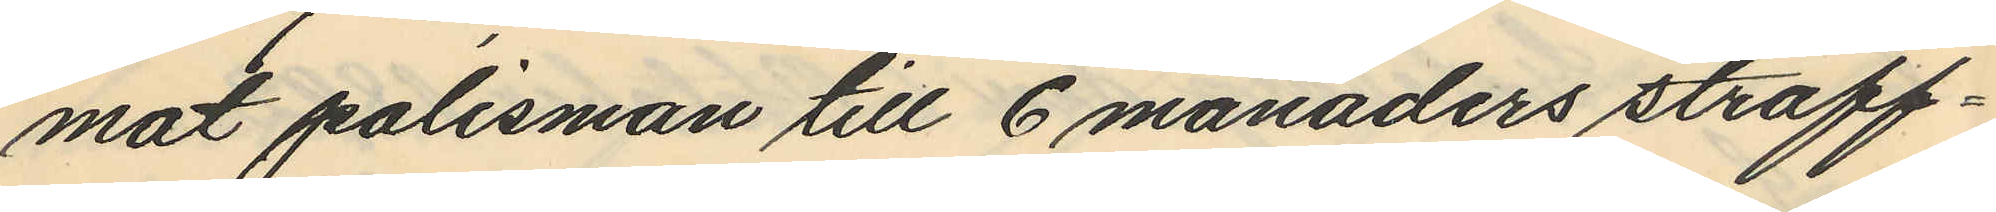mot polisman till 6 månaders straff¬
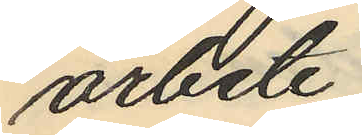arbete;
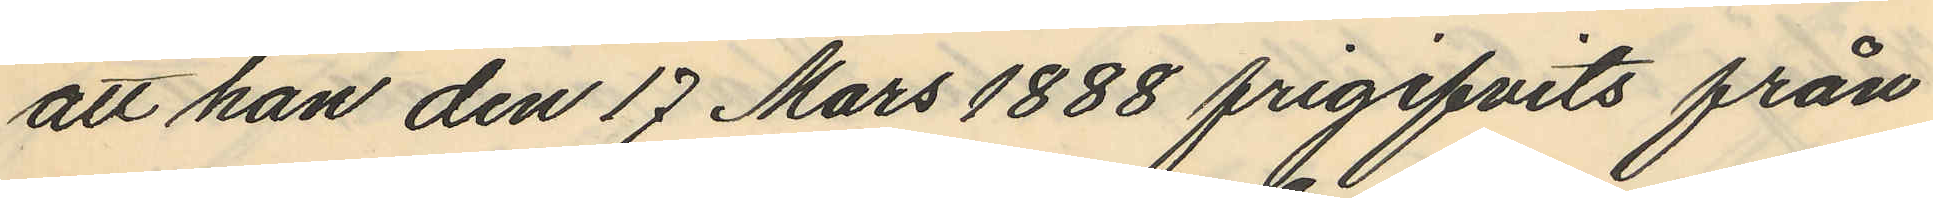att han den 17 Mars 1888 frigifvits från
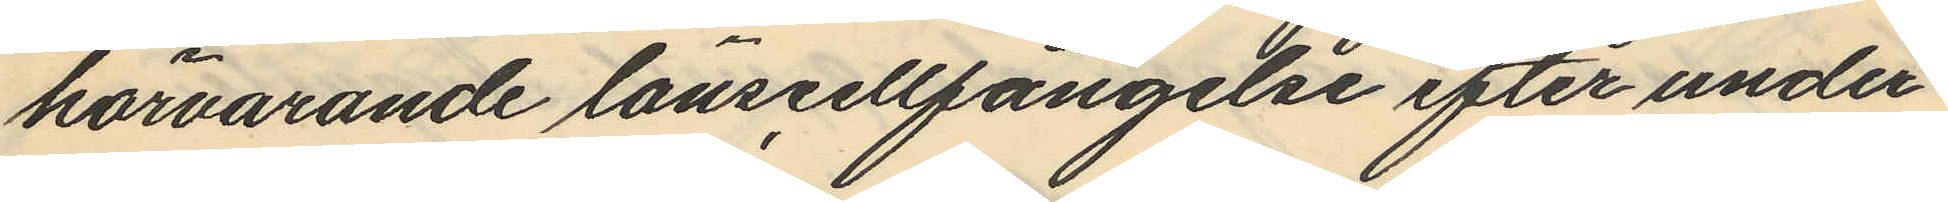härvarande länscellfängelse efter under¬
